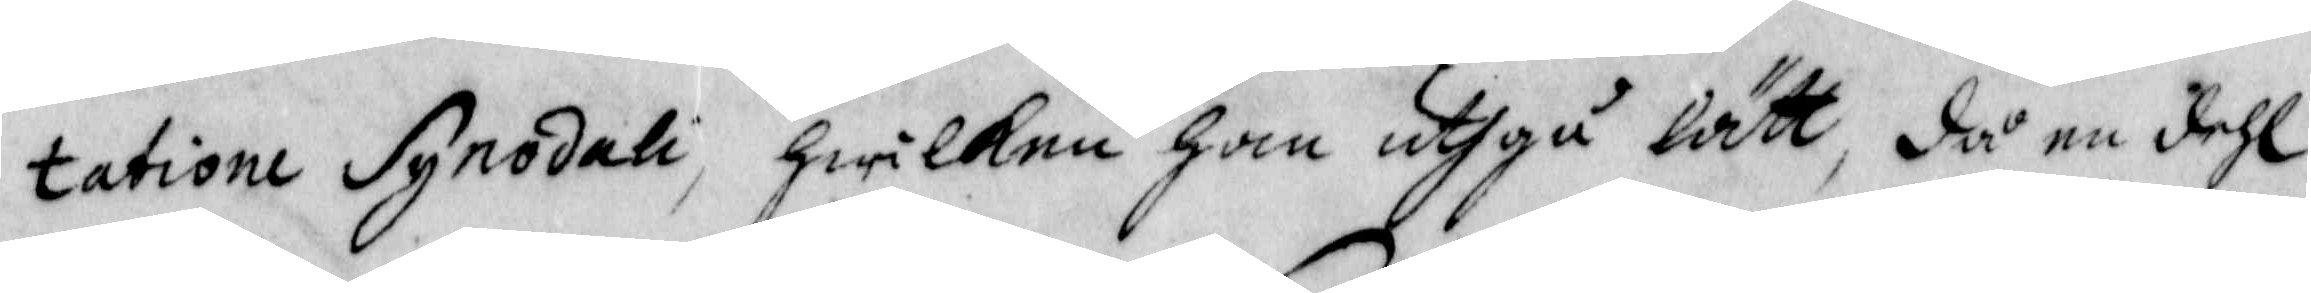tation Synodali, hwilken han uthgå lätt, då en dehl
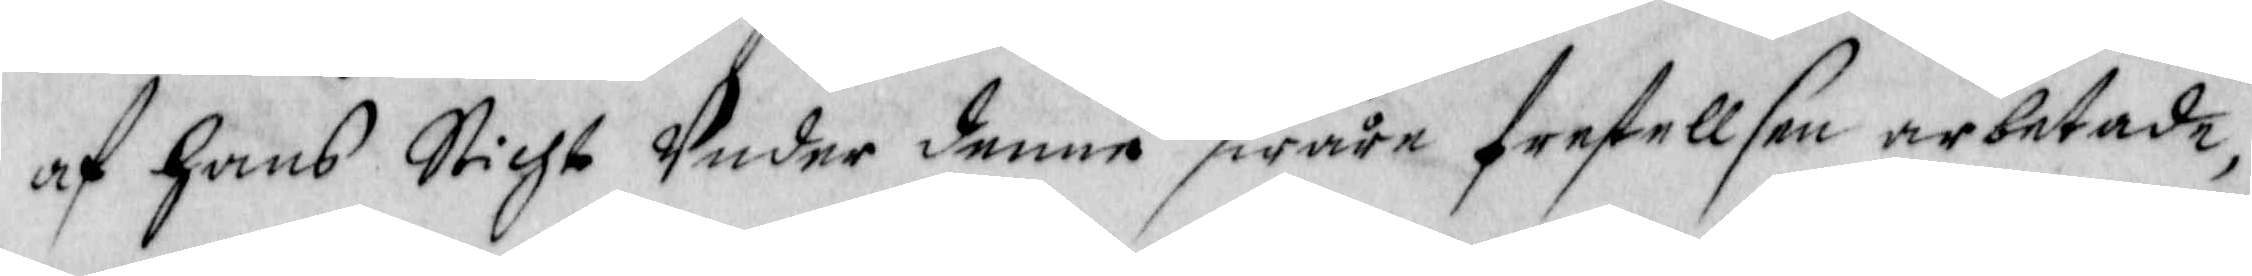af hans Sticht Under denne swåre frestellsen arbetade,
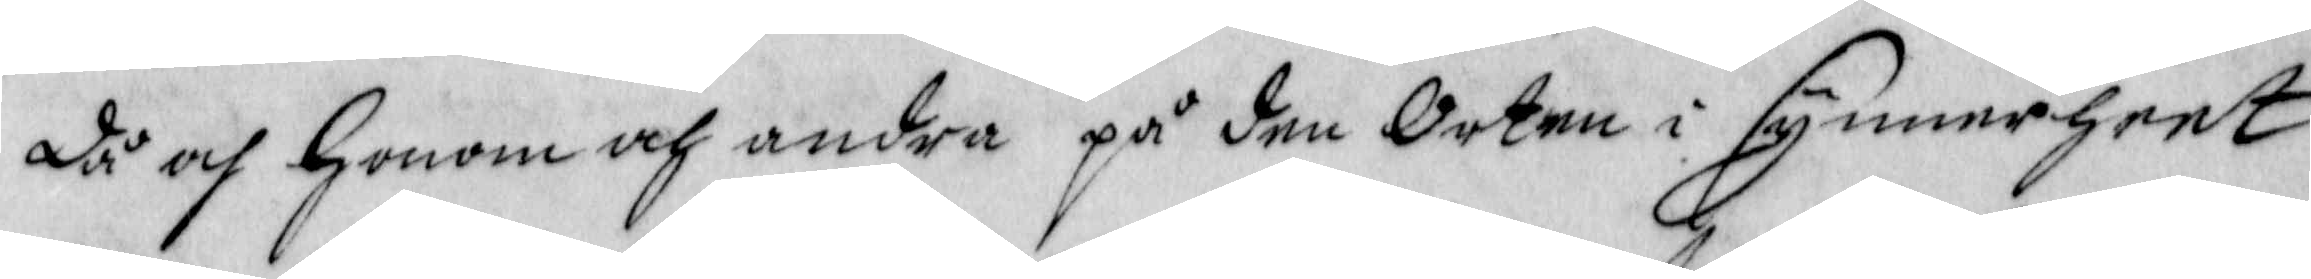då och honom och andra på den Orten i synnerheet
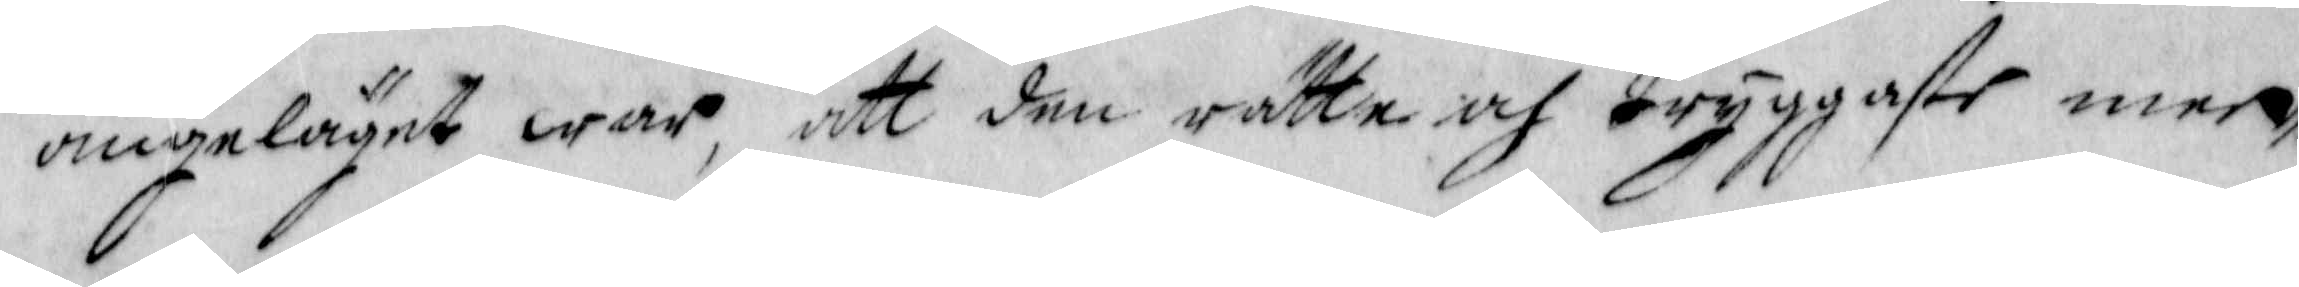angeläget war, att den rätte och tryggaste men¬
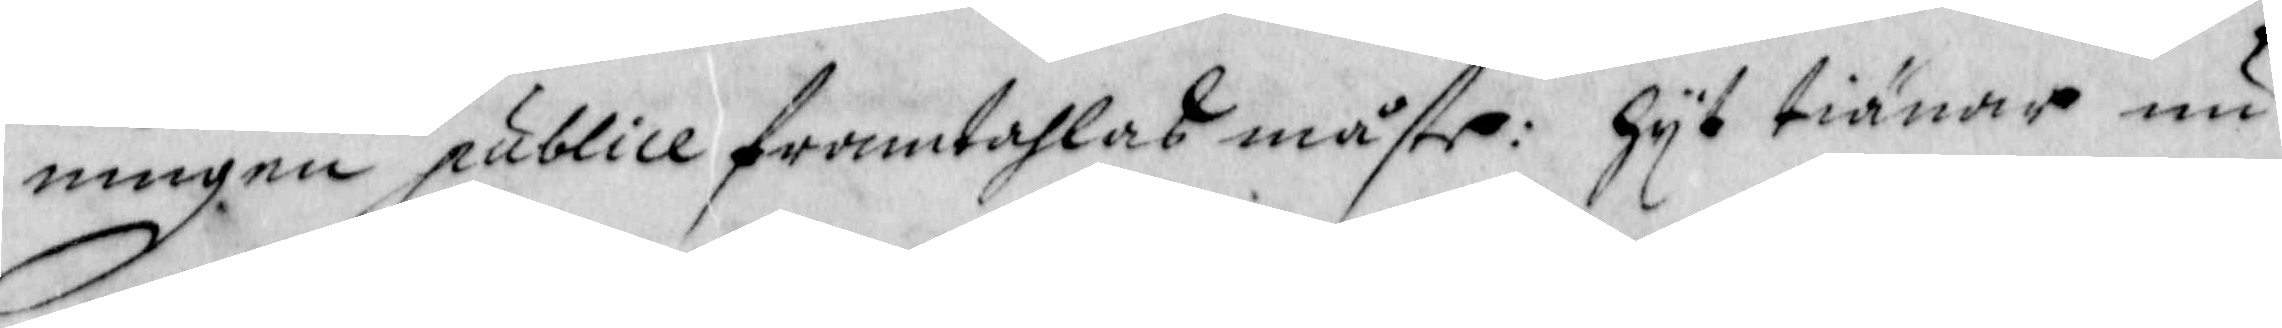ningen publice framtahlas måste: hyt tiänar nu
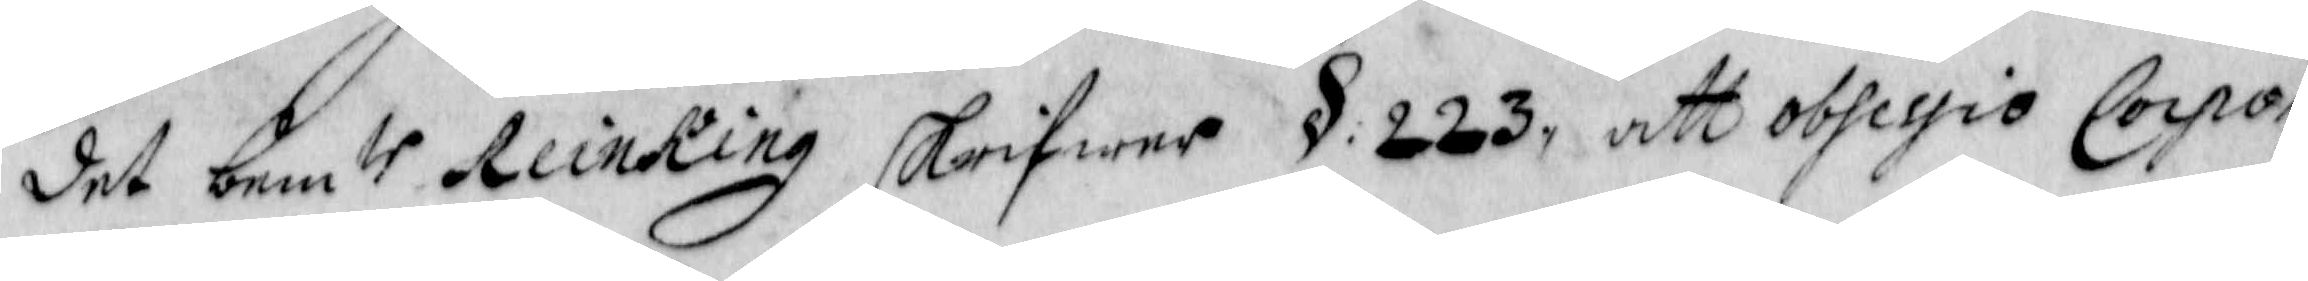det bemte Reinking skrifwer § 223, att obsession Corp¬
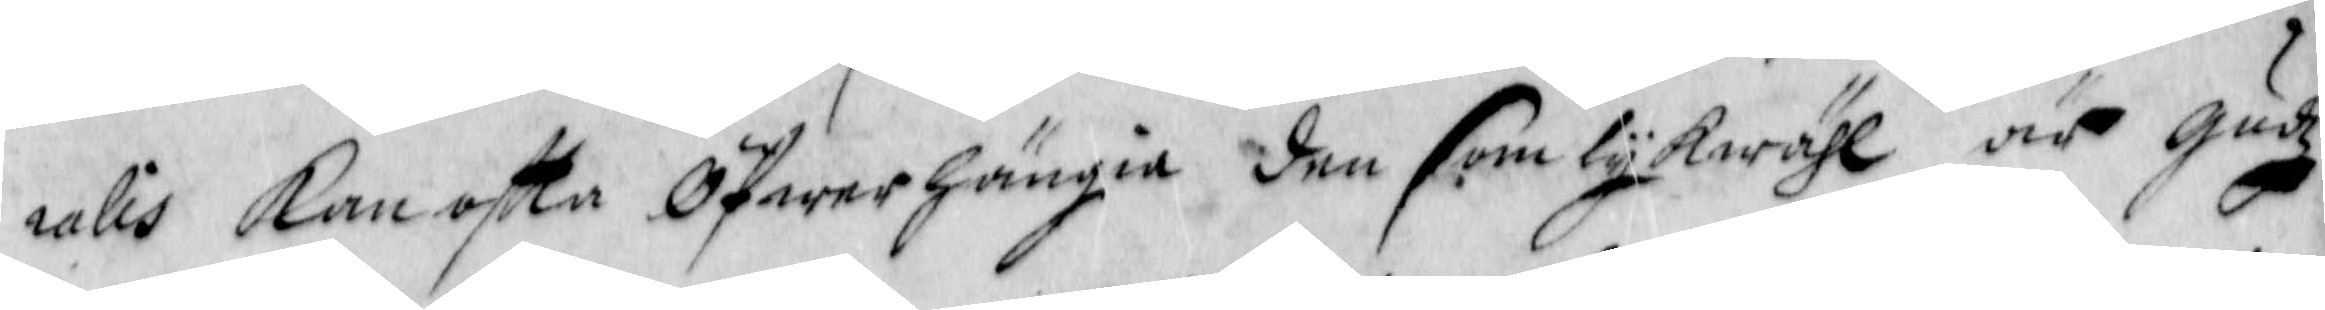ralis kan oftta Öfwerhängia den som lykwähl är gudz
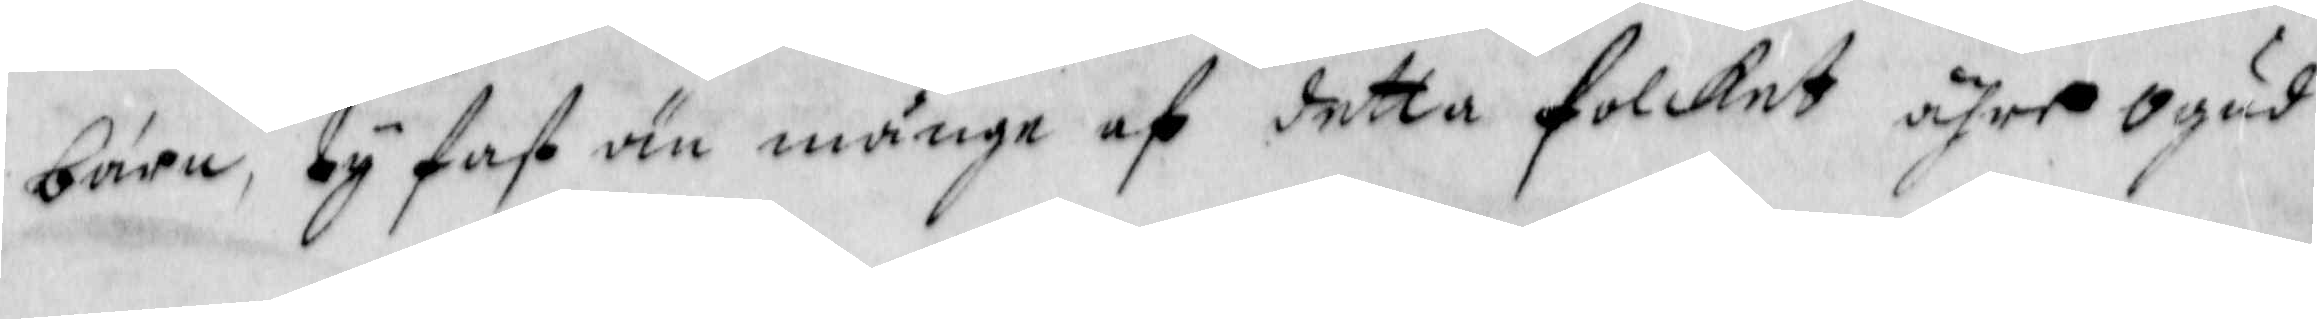barn, ty fast än många af detta folcket ahre ogud
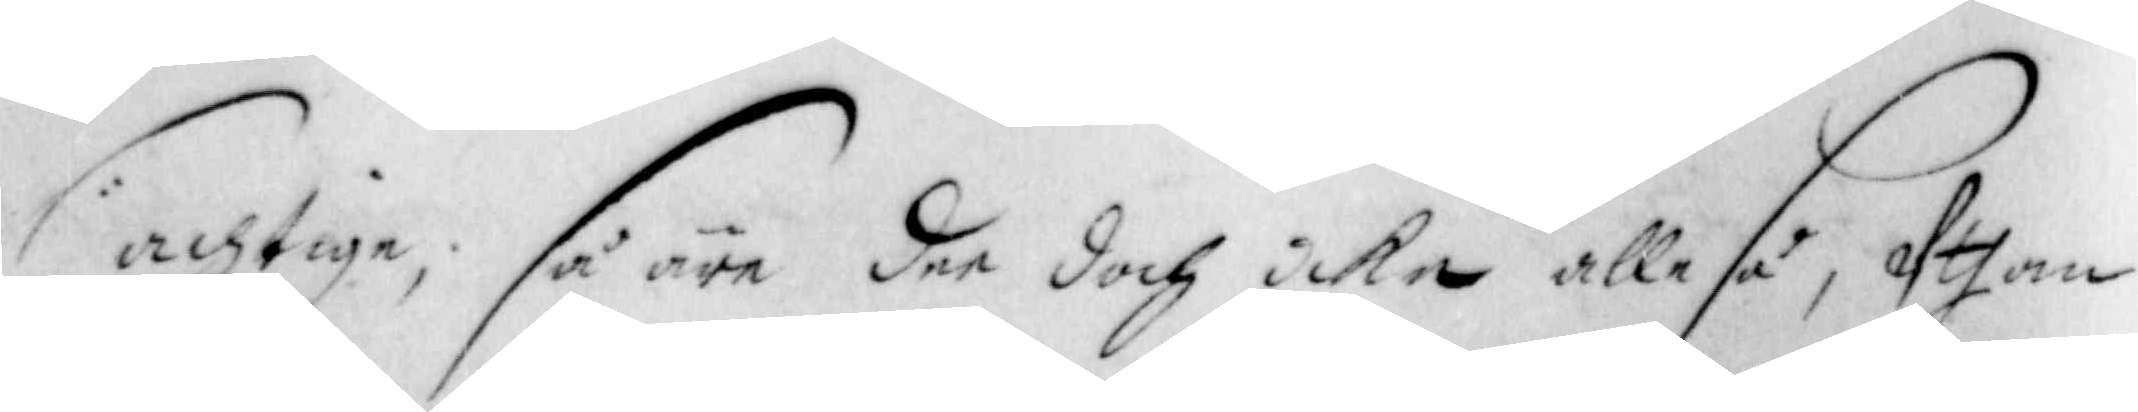achtiga, så äre dee doch icke alle så, Uthan
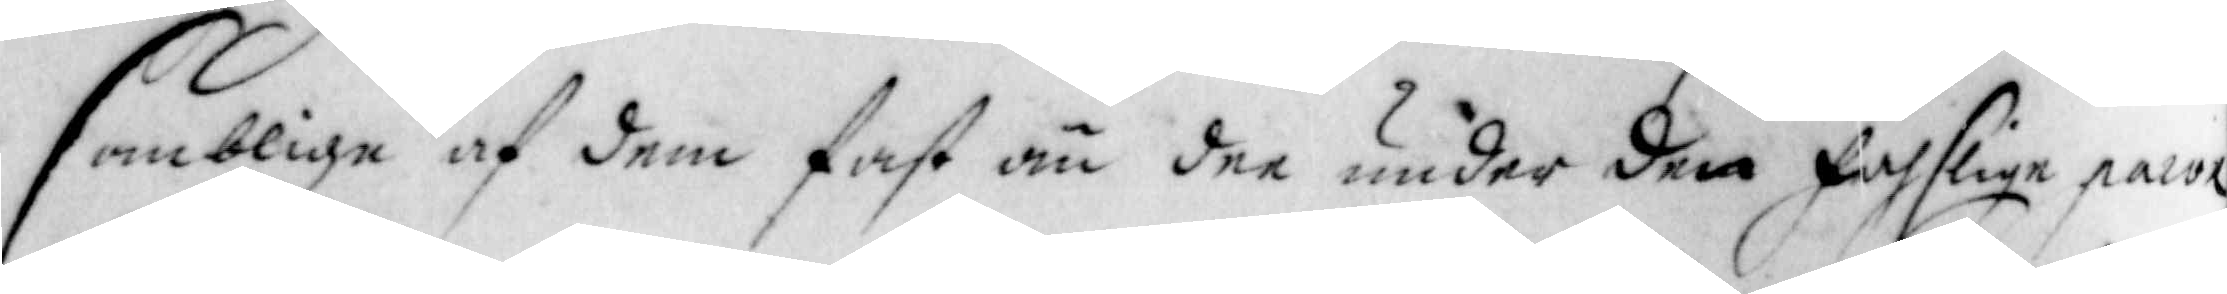somblige af dem fasr än dee under den faslige parox¬
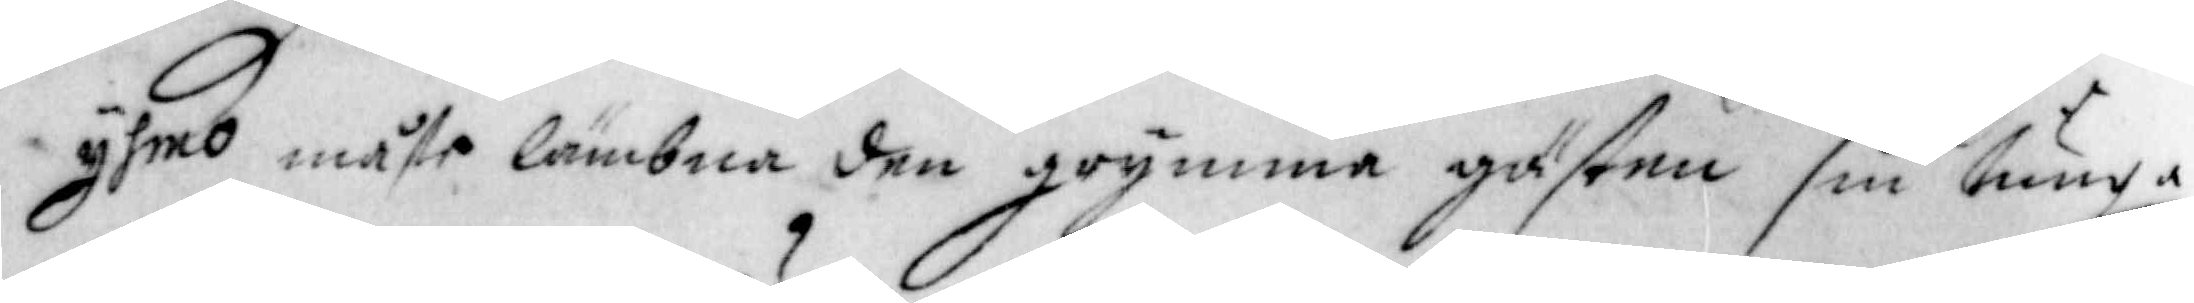yhmo måste lämbna den grymma gästen sin tunga
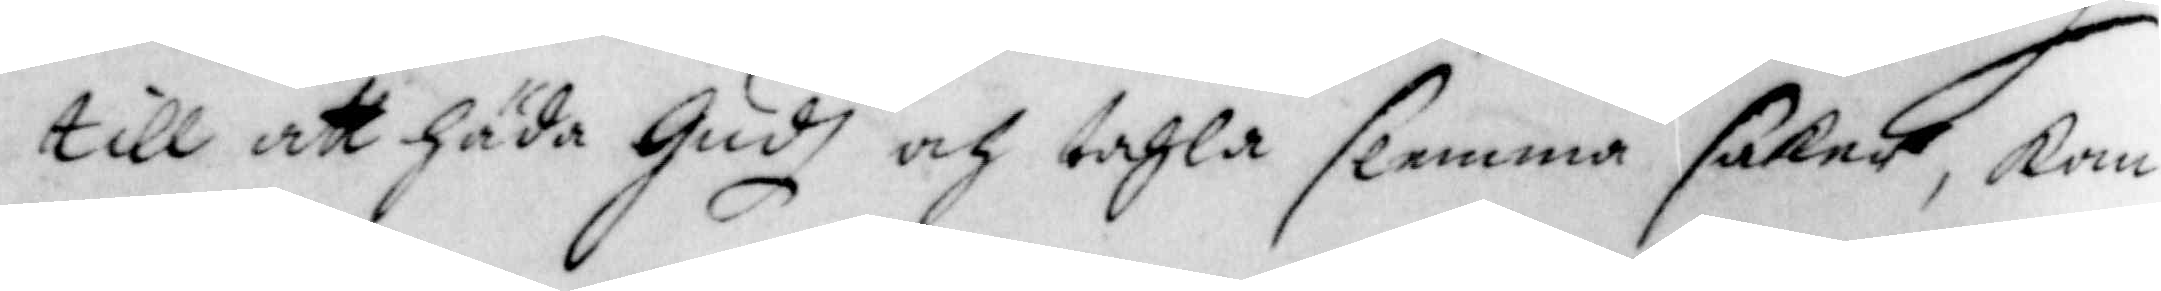till att häda Gudh och tahla slemma saker, kan
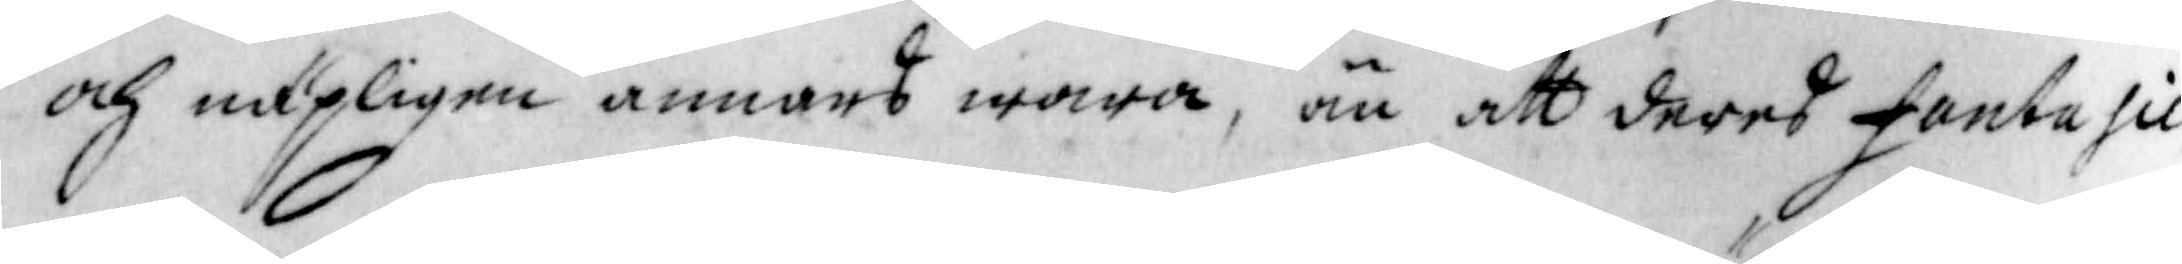och näpeligen annars wara, än att deres fantasie
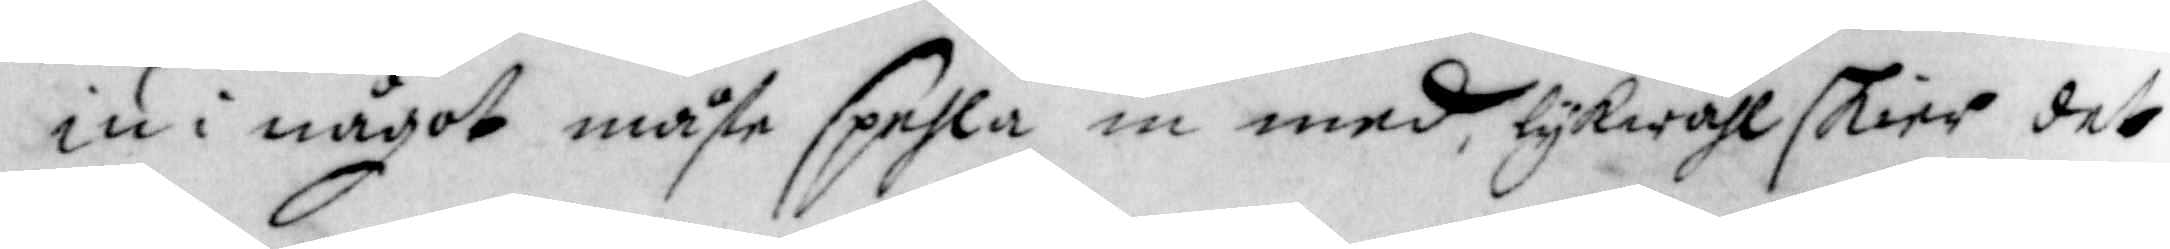iu i något måste spela in med, lykwähl skier det
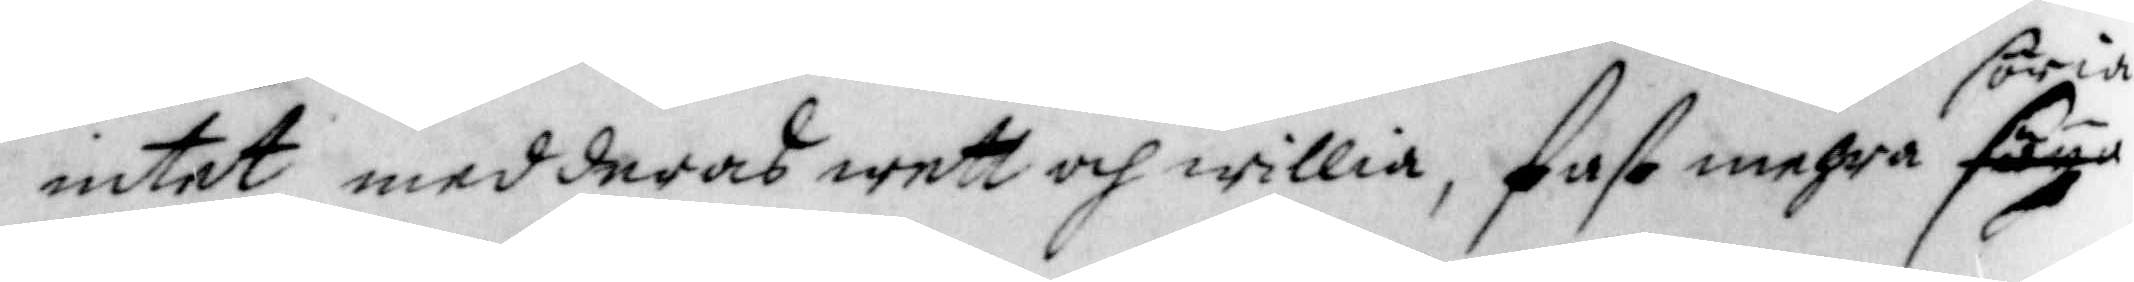intet med deras wett och willia, fast mehra söria
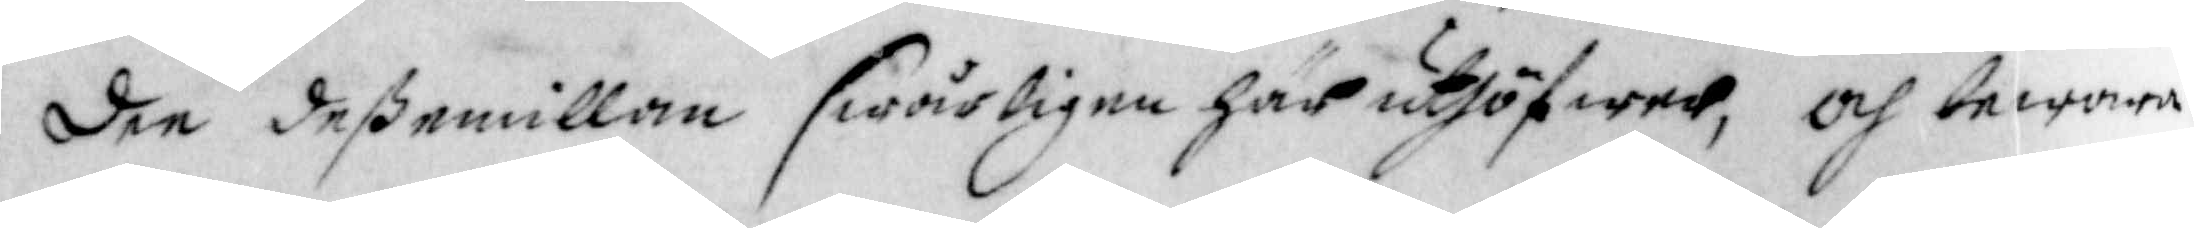dee deßemillan swårligen här uthöfwer, och bewara
